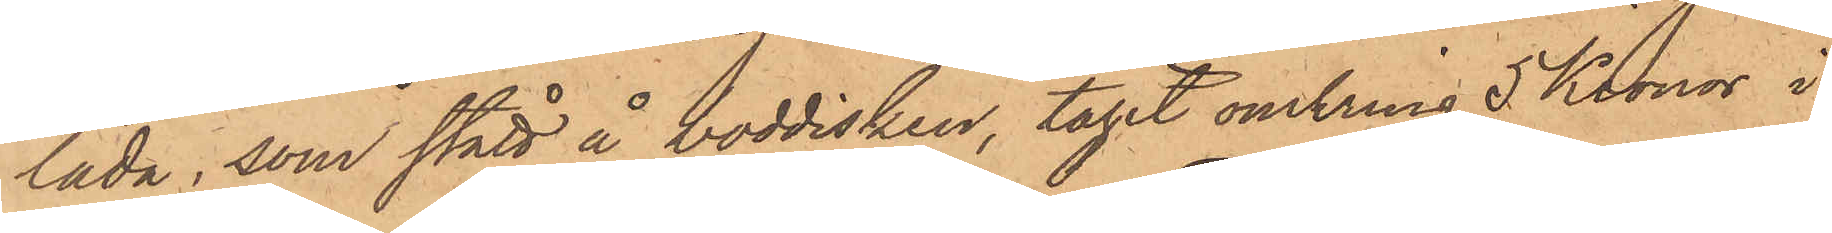låda, som stått å boddisken, tagit omkring 5 Kronor i
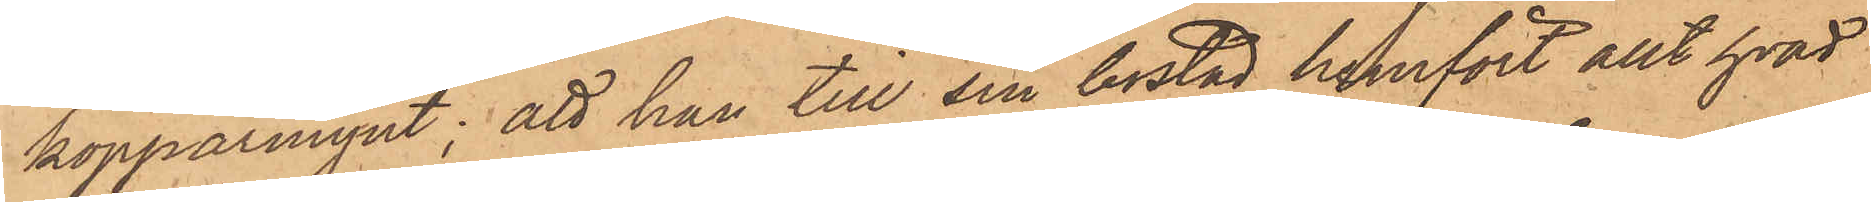kopparmynt; att han till sin bostad hemfört allt hvad
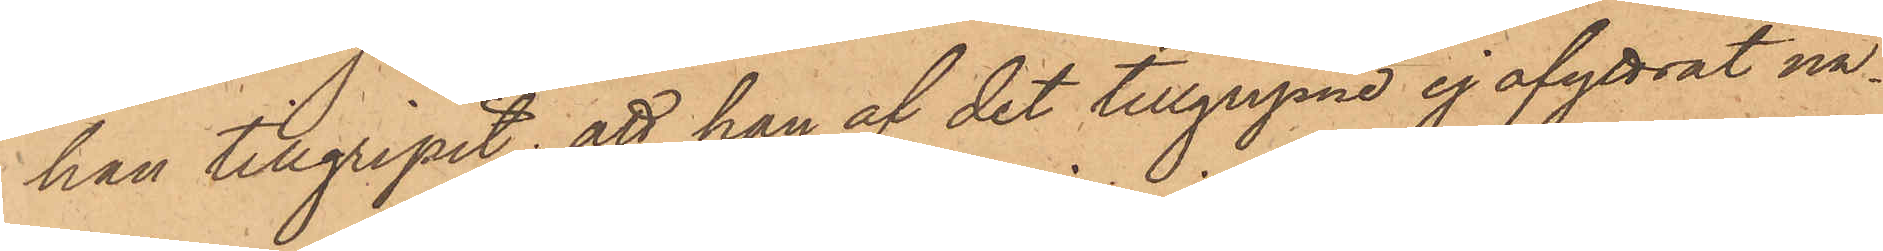han tillgripit; att han af det tillgripne ej afyttrat nå¬
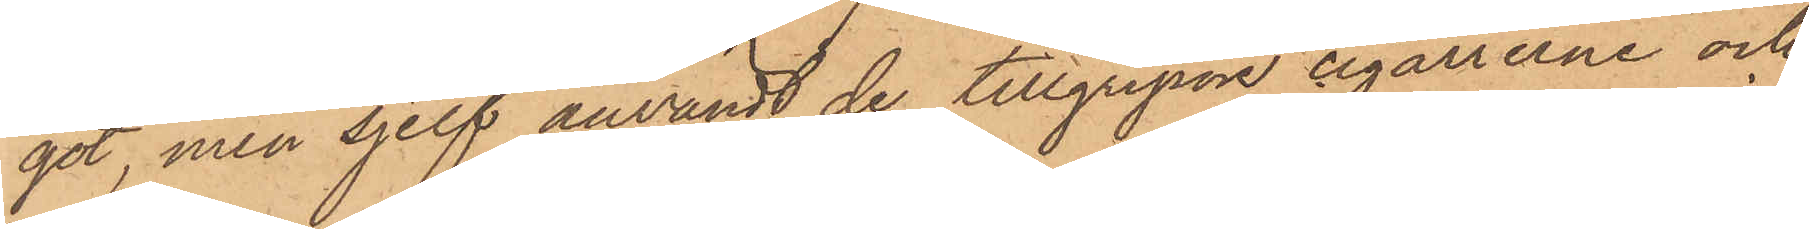got, men sjelf användt de tillgripne cigarrerne och
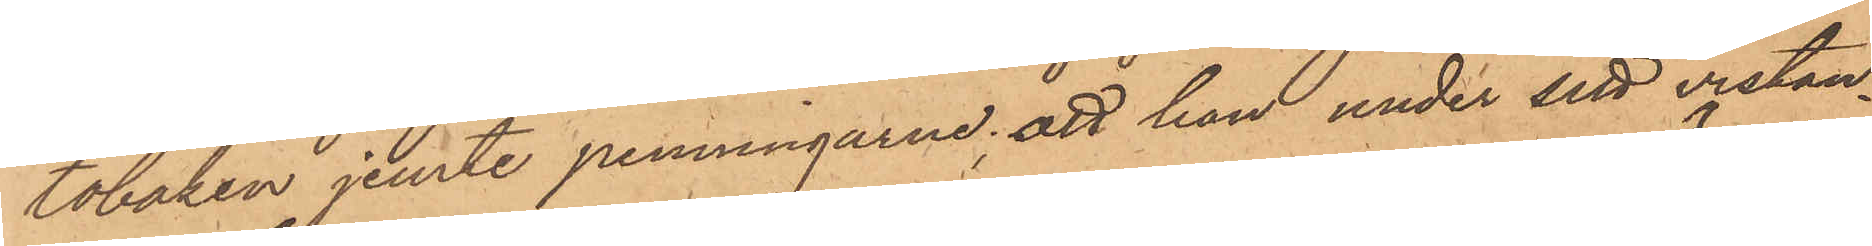tobaken jemte penningarne; att han under sitt vistan¬
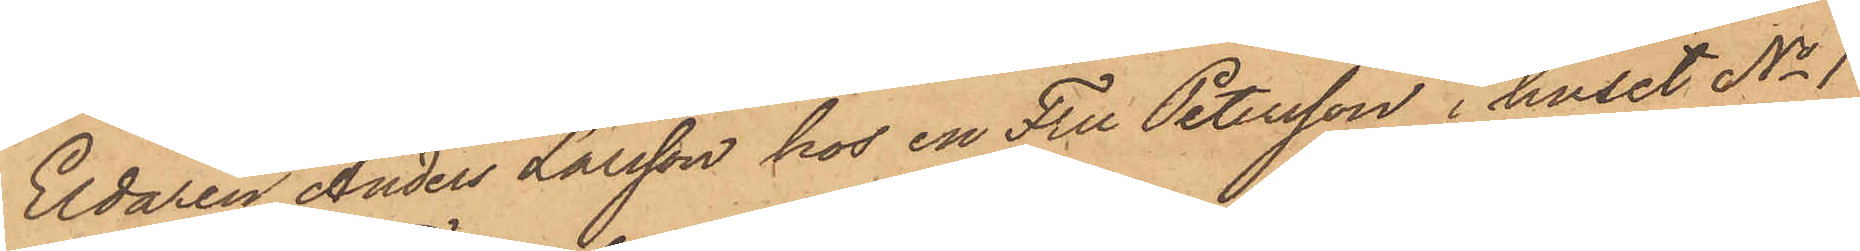Eldaren Anders Larsson hos en Fru Petersson i huset No 1
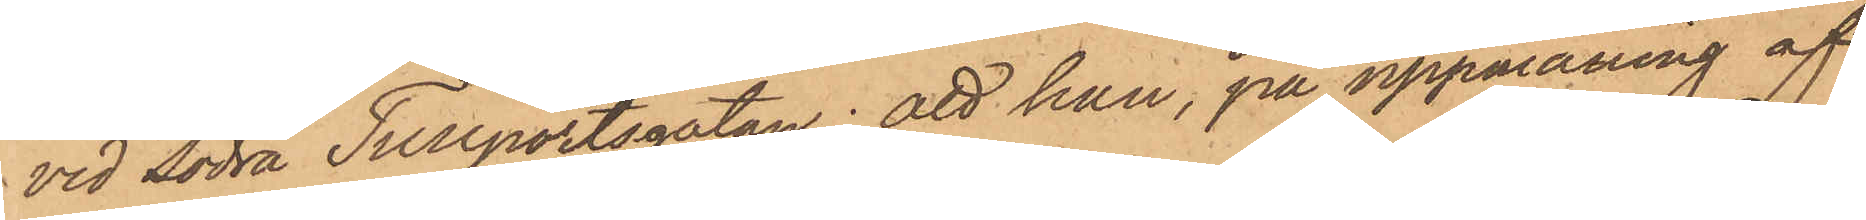vid Södra Tullportsgatan; att han, på uppmaning af
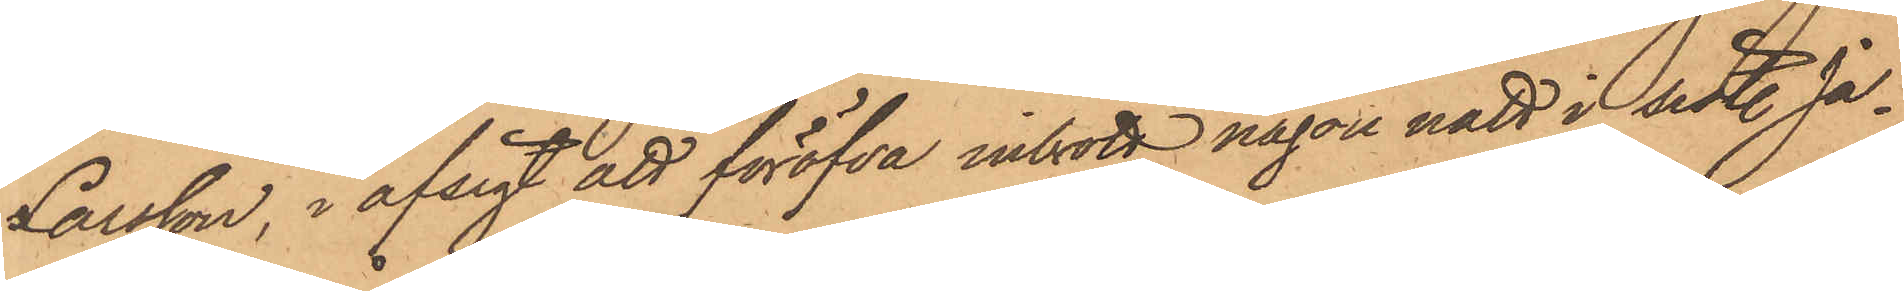Larsson, i afsigt att föröfva inbrott någon natt i sistl. Ja¬
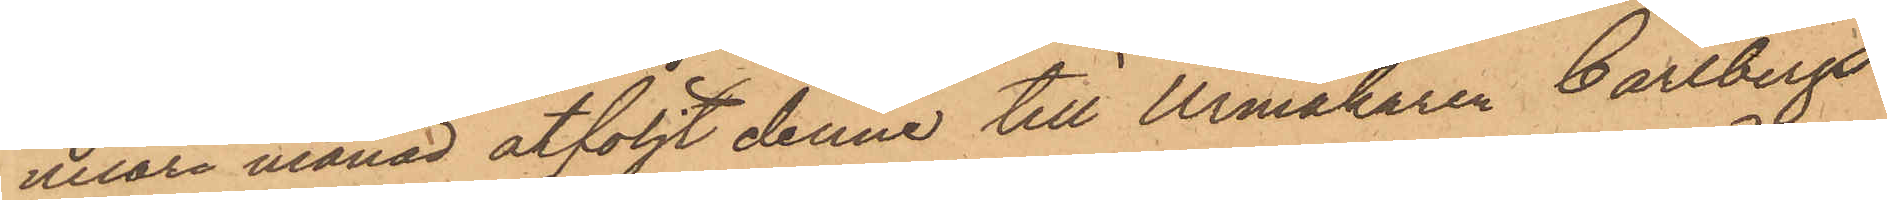nuari månad åtföljt denne till Urmakaren Carlbergs
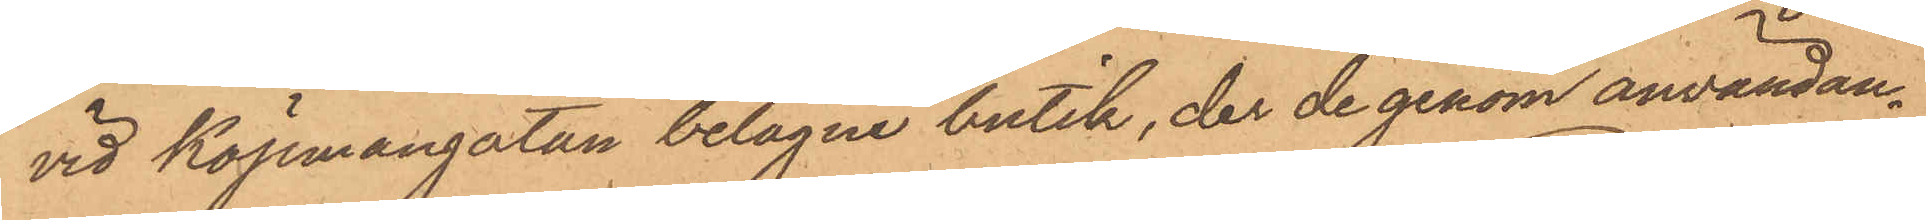vid Köpmangatan belägna butik, der de genom användan¬
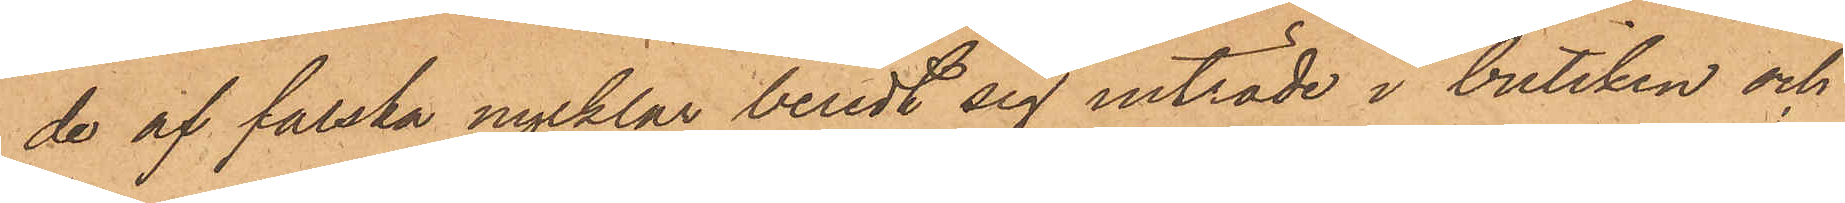de af falska nycklar beredt sig inträde i butiken och
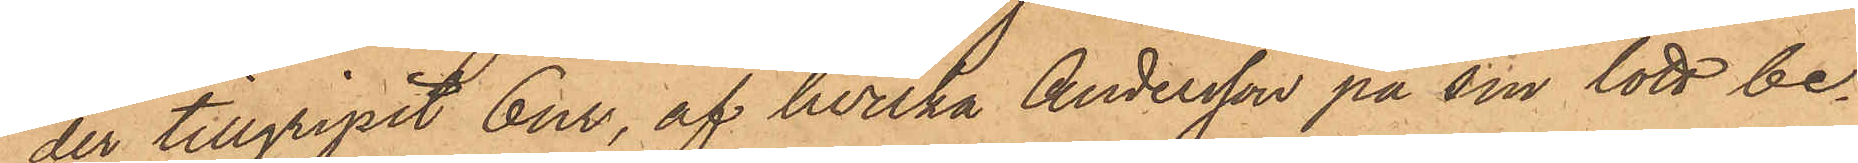der tillgripit 6 ur, af hvilka Andersson på sin lott be¬
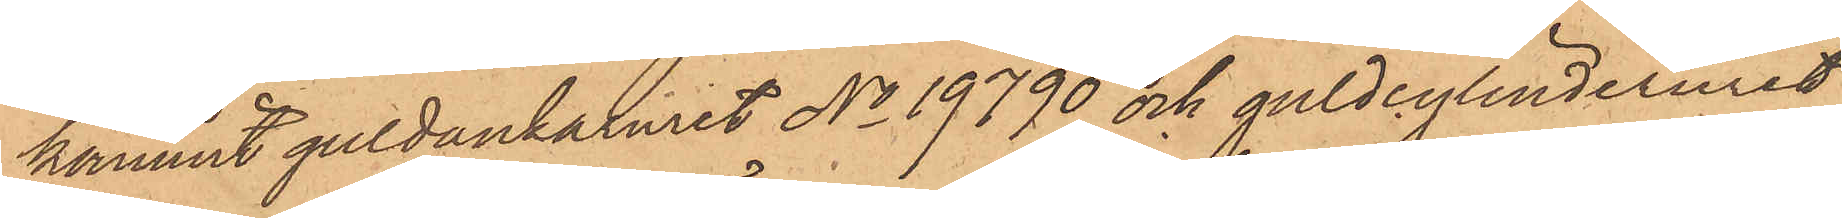kommit guldankaruret No 19790 och guldcylinderuret
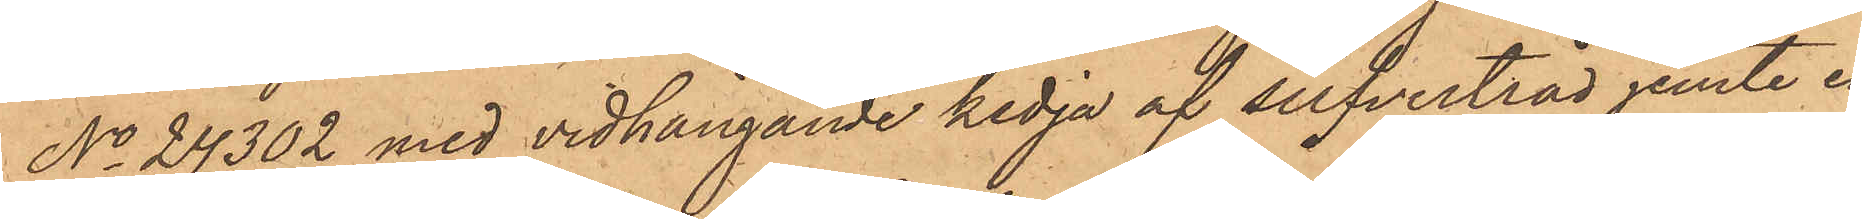No 24302 med vidhängande kedja af silfvertråd jemte en
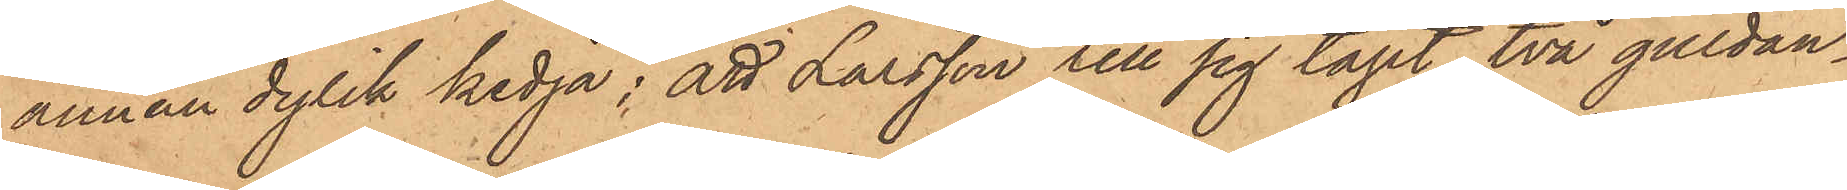annan dylik kedja; att Larsson till sig tagit två guldan¬
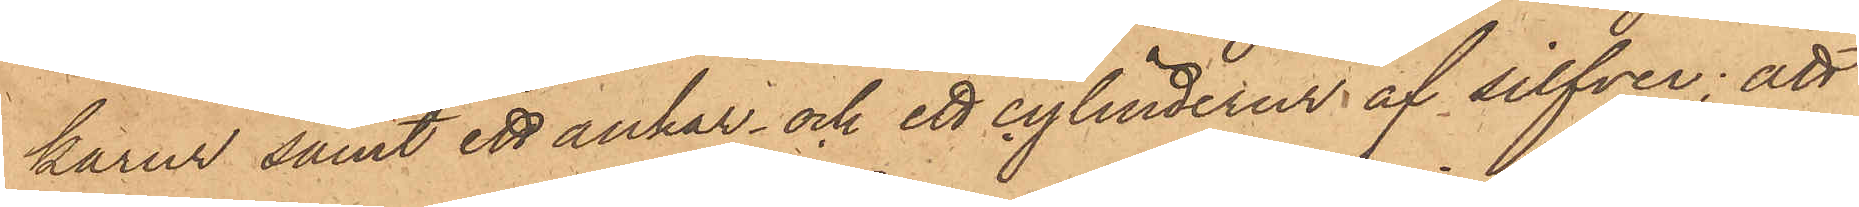karur samt ett ankar- och ett cylinderur af silfver; att
